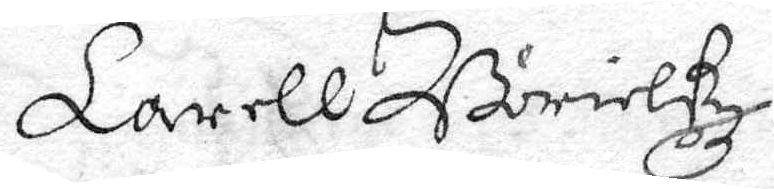Larell Börielßz
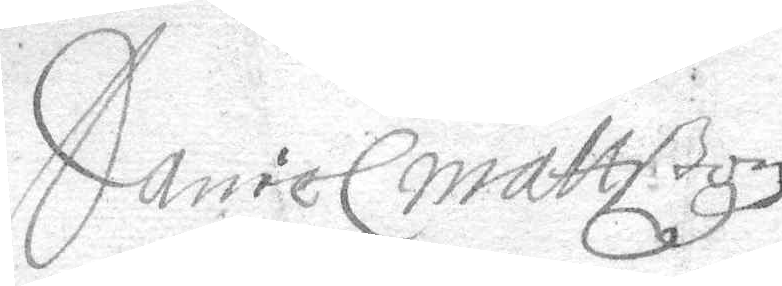Daniel Mattßon 
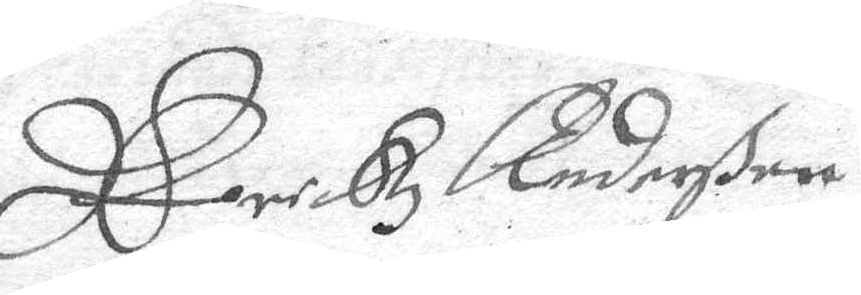Erikz Anderßon
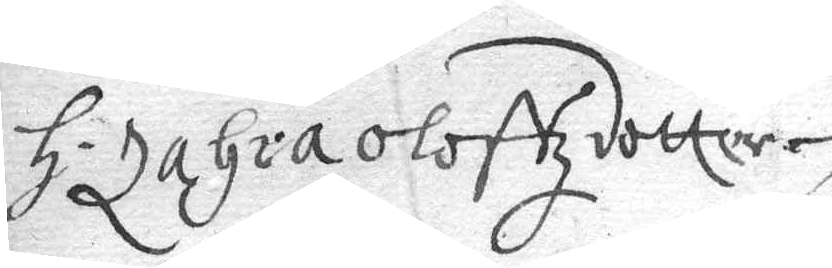H Zahra Oloffzdotter, 
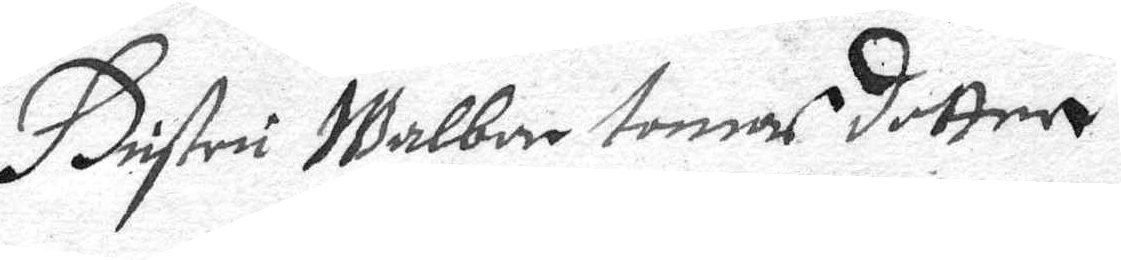Hustru Walbor Tomas dotter
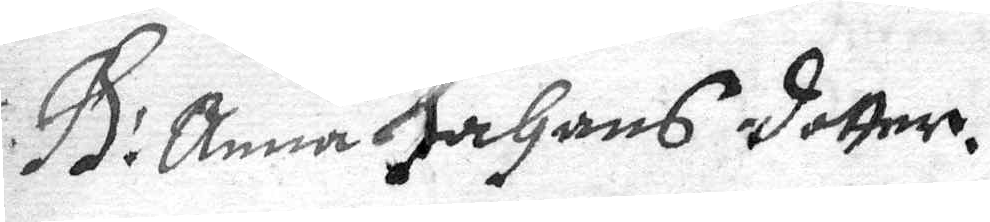H: Anna Johans dotter.  
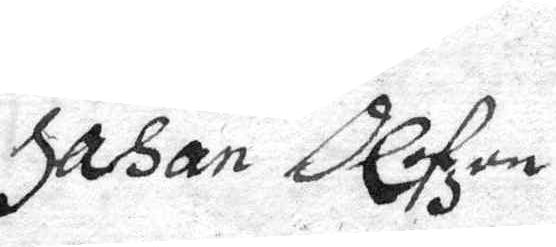Johan Olofzon
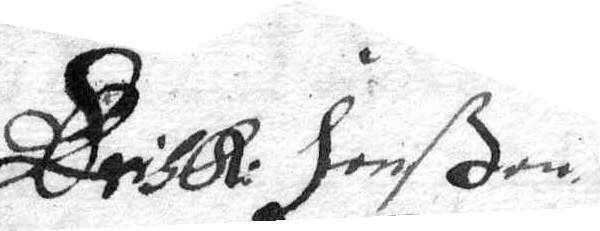Erick Jonßon
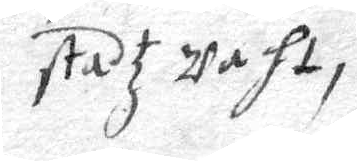stadz Waht,
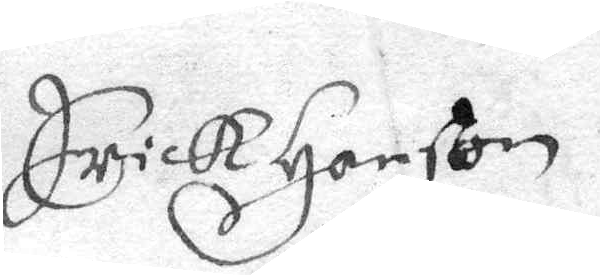Erick Hanßon 
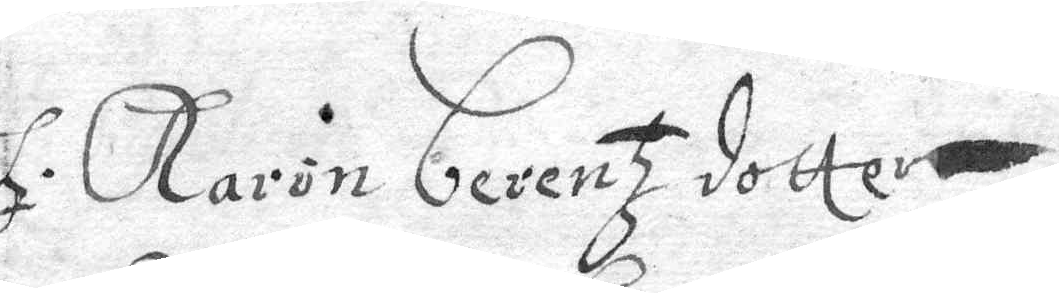H: Karin berentz dotter
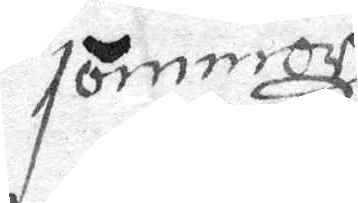tömmarz
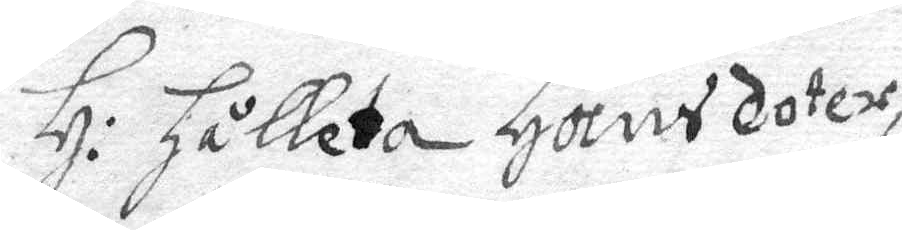H: Hålleta Hansdoter
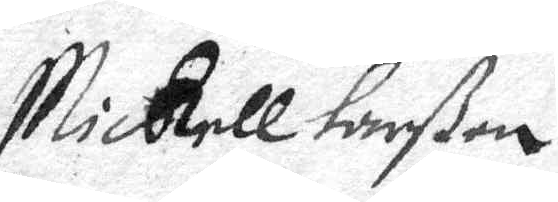Michell larßon
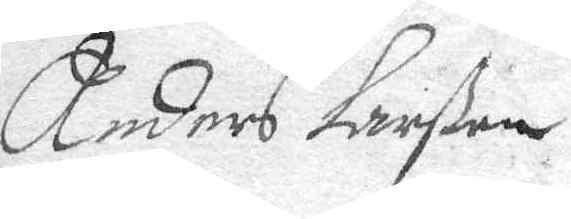Anders Larßon 
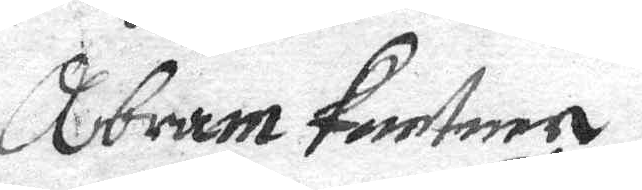Abram Pontene.
